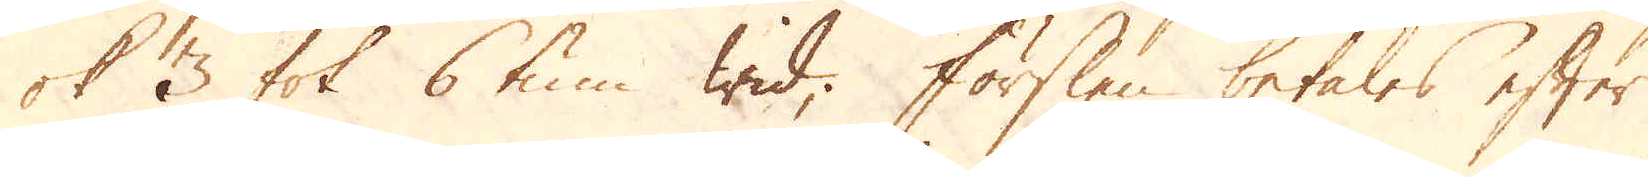ok 3 fot 6 tum wid; Förslen betales efter
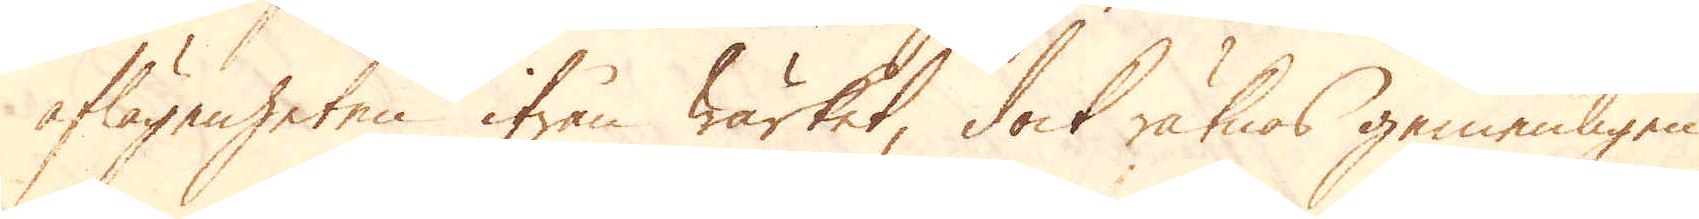aflägsenheten ifrån Wärket, dock räknas gemenligen
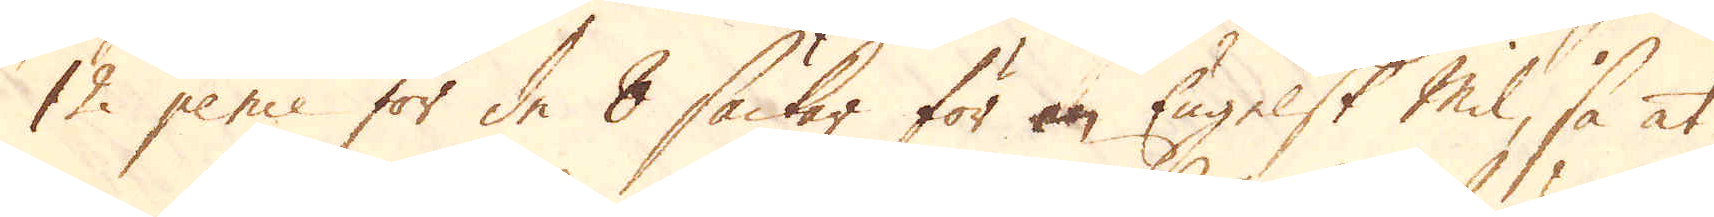12 pence för de 8 säckar för en Engelsk Mil, så at
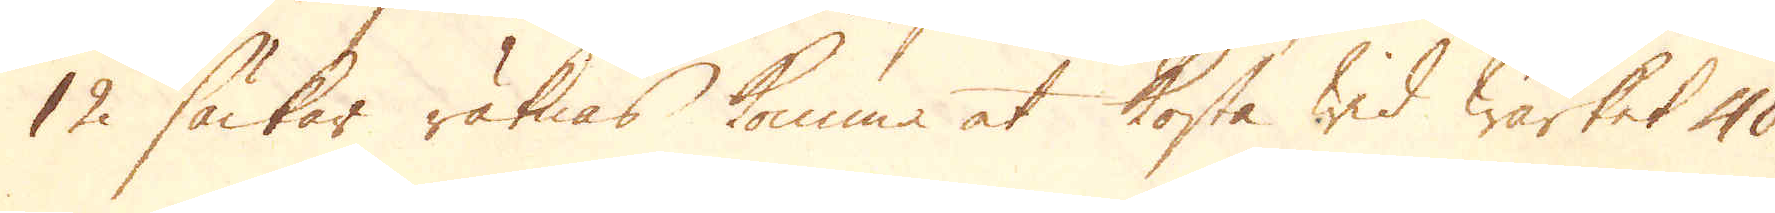12 säckar räknas komma at kosta wid Wärket 40
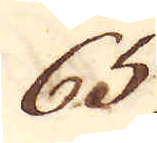65.
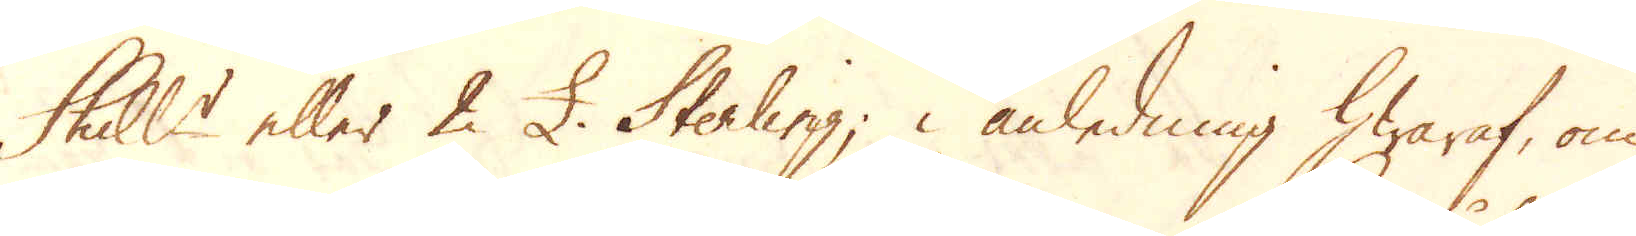Skill:r eller 2 £. Sterling; i anledning hwaraf, om
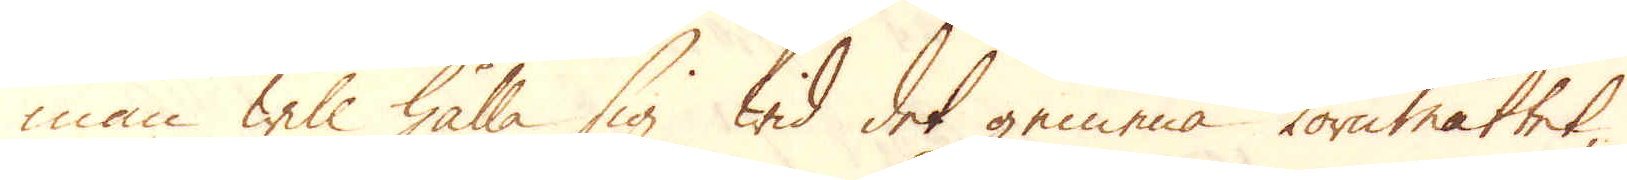man will hålla sig wid det gemena kornmåttet,
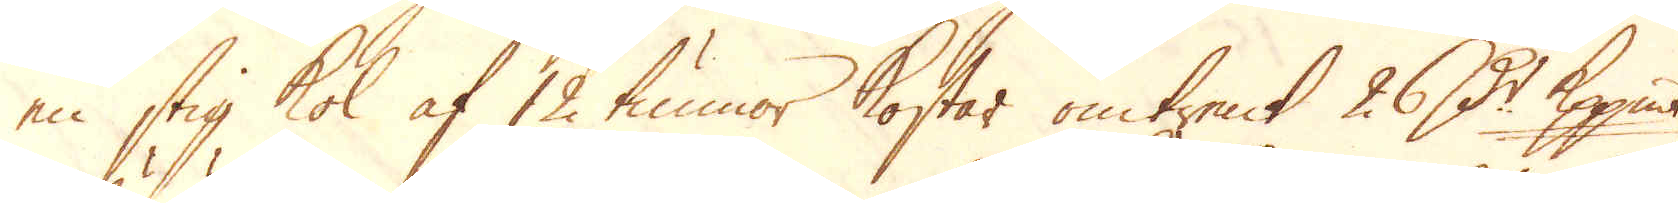en stig kol af 12 tunnor kostar omtrent 26 d:r kppmt,
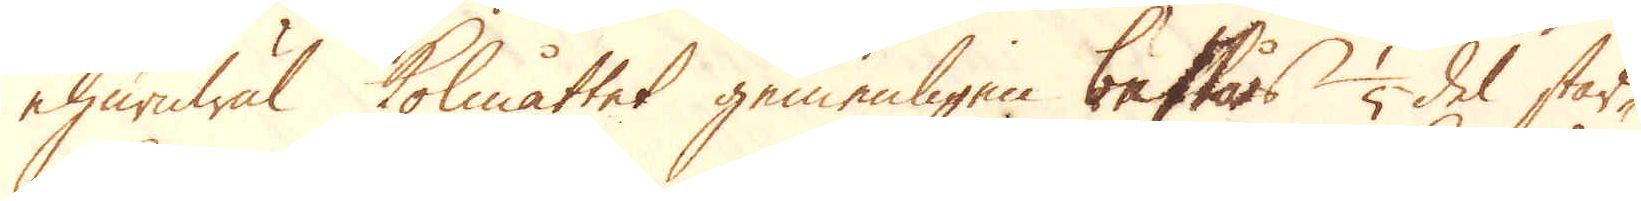ehuruwäl kolmåttet gemenligen bestås 1/5 del star-
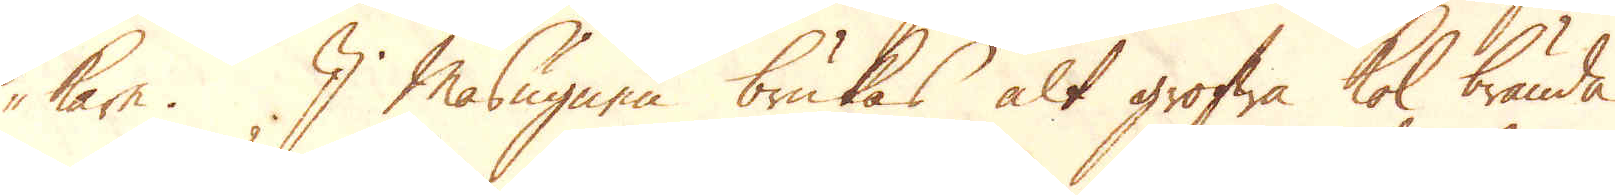kare. I Masugnen brukas alt grofwa kol brända
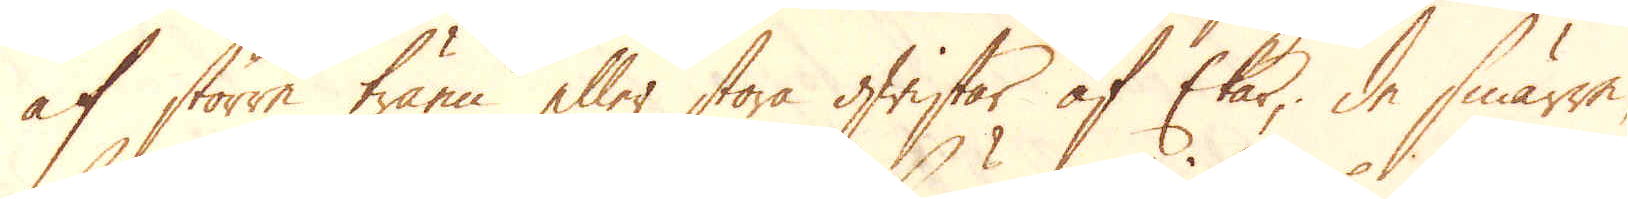af större träen eller stora qwistar af Ekar; de smärre,
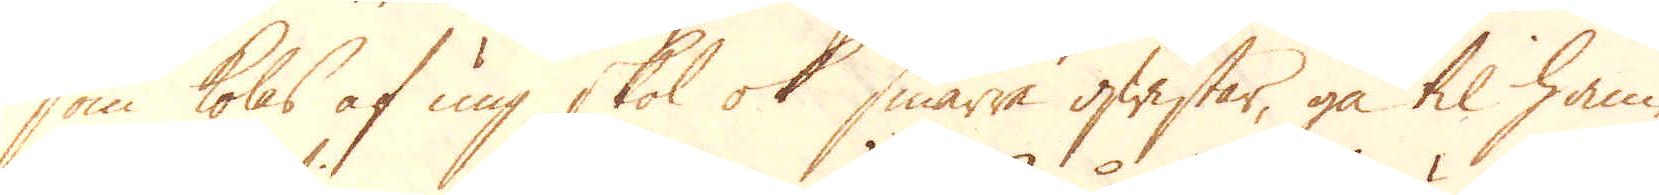som kolas af ung skol ok smärre qwistar, gå til ham-
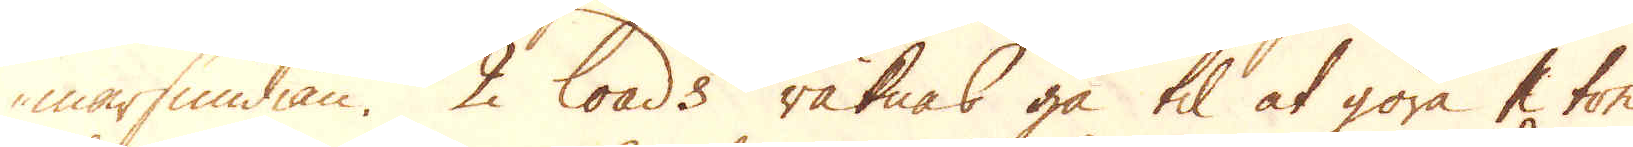marsmidian. 2 loads räknas gå til at göra 1 ton
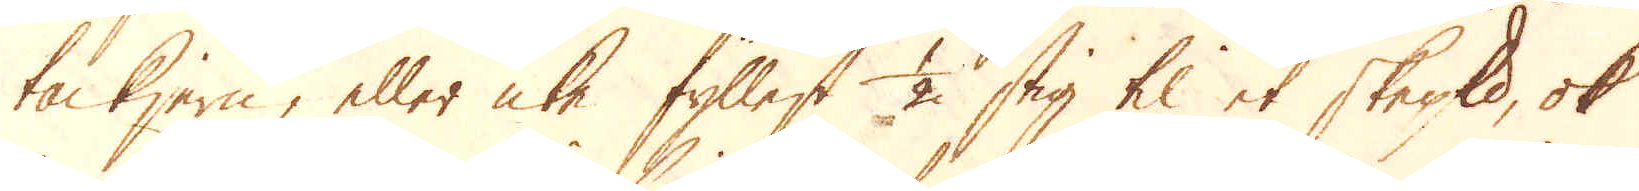tackjern, eller icke fyllest 1/2 stig til et skeppund, ok
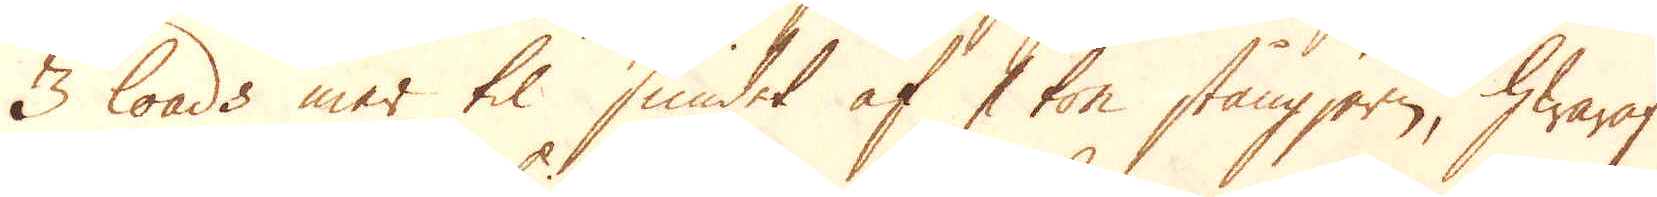3 loads mer til smidet af 1 ton stångjern, hwaraf
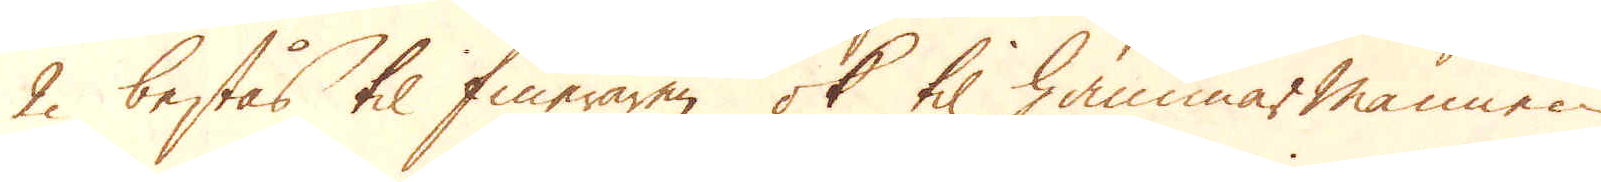2 bestås til fineraren ok til hammarmannen
